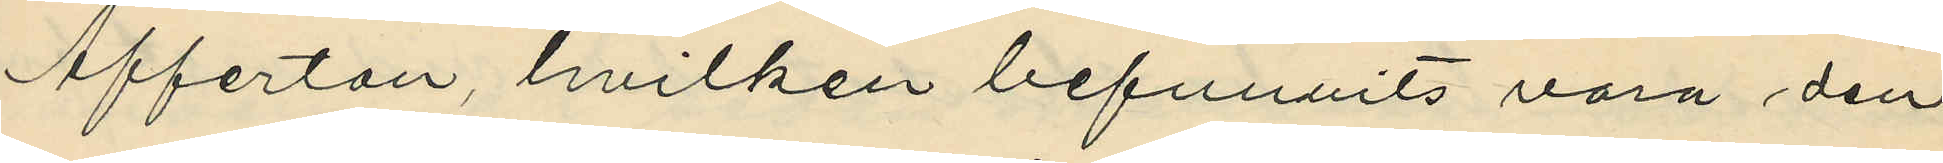Afferton, hvilken befunnits vara den
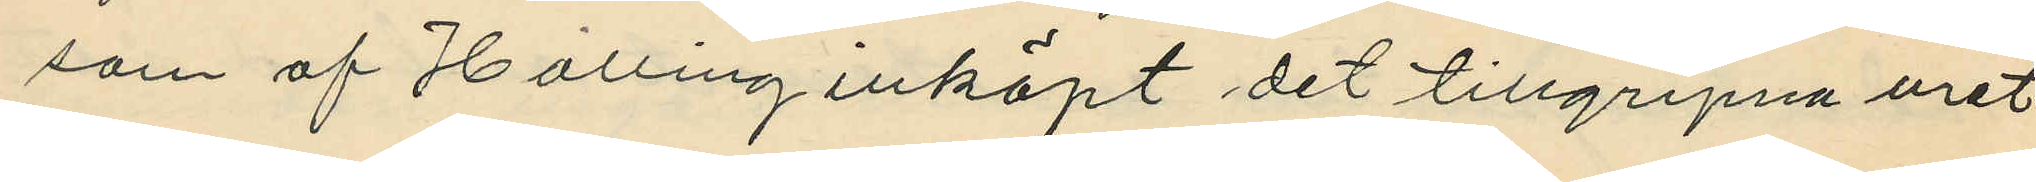som af Halling inköpt det tillgripna uret
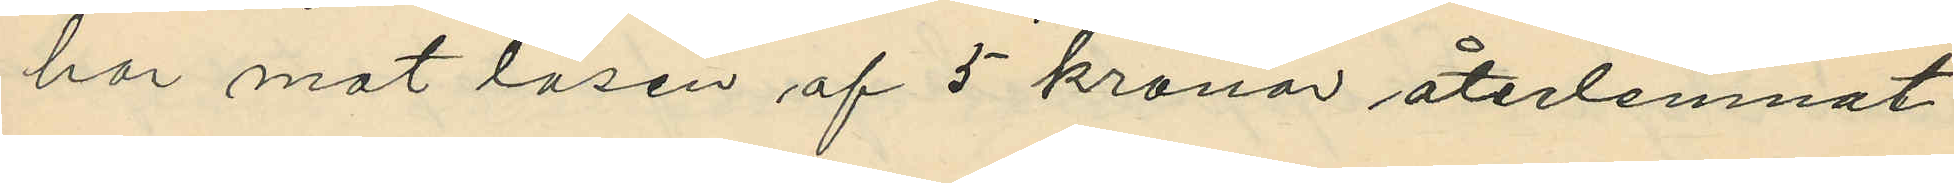har mot lösen af 5 kronor återlemnat
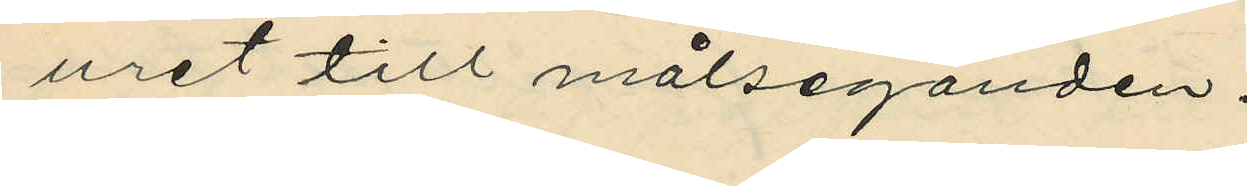uret till målseganden.
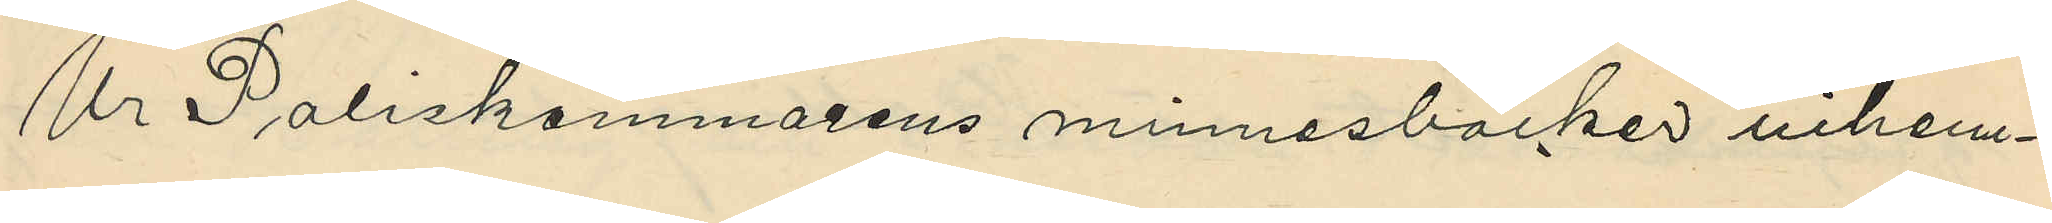Ur Poliskammarens minnesböcker inhem¬
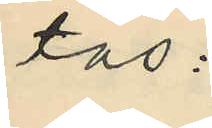tas:
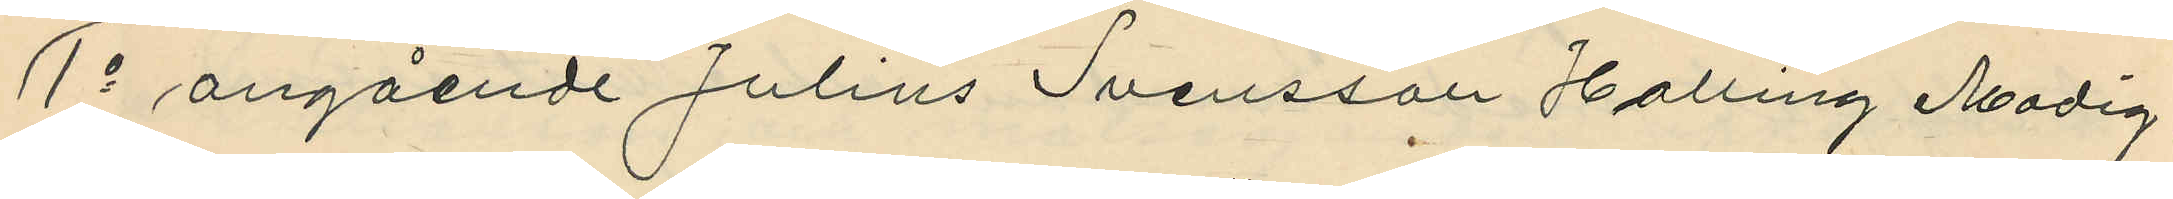1o angående Julius Svensson Halling Modig,
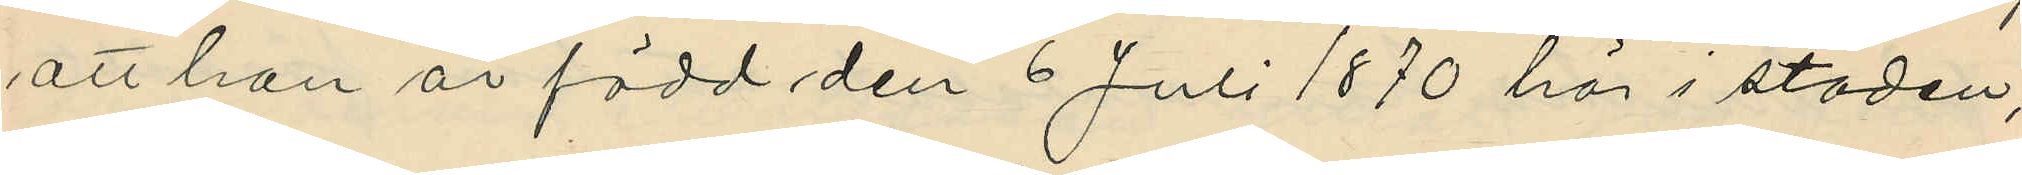att han är född den 6 Juli 1870 här i staden;
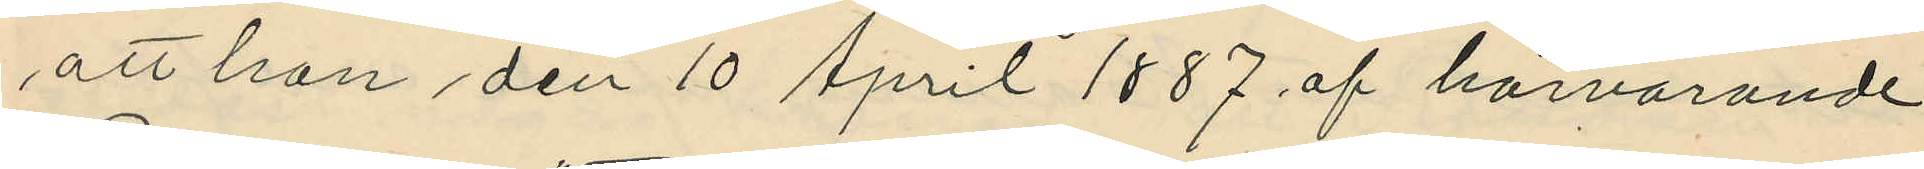att han den 10 April 1887 af härvarande
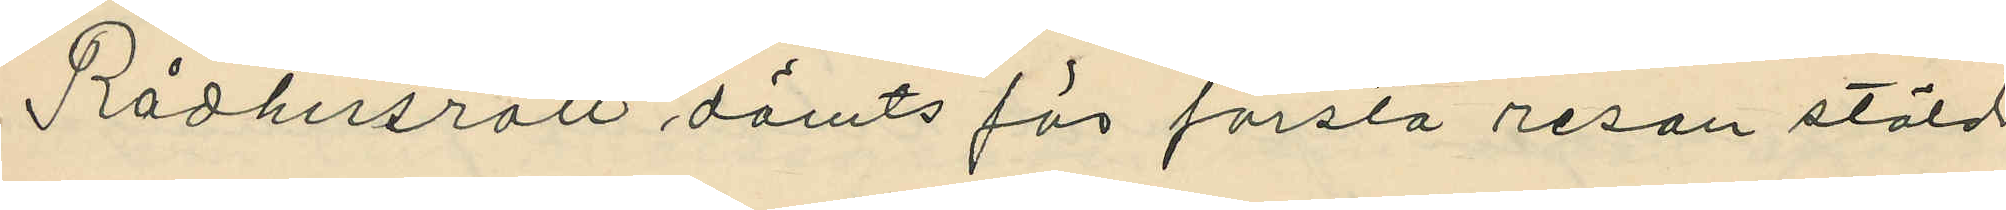Rådhusrätt dömts för första resan stöld
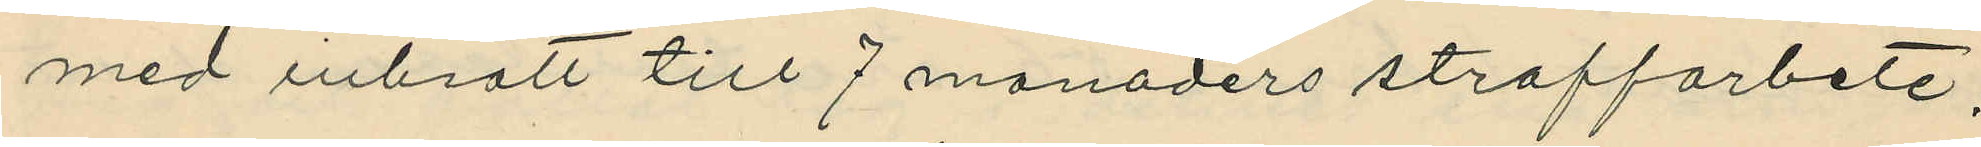med inbrott till 7 manaders straffarbete;
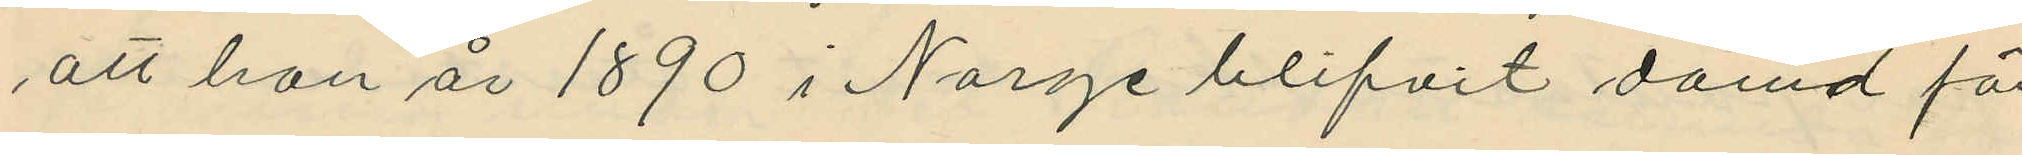att han år 1890 i Norge blifvit dömd för
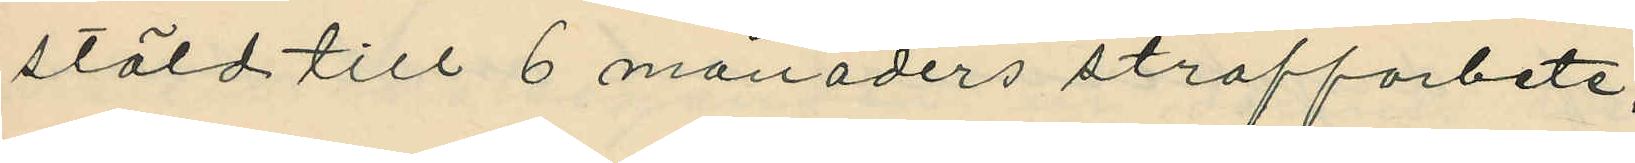stöld till 6 månaders straffarbete;
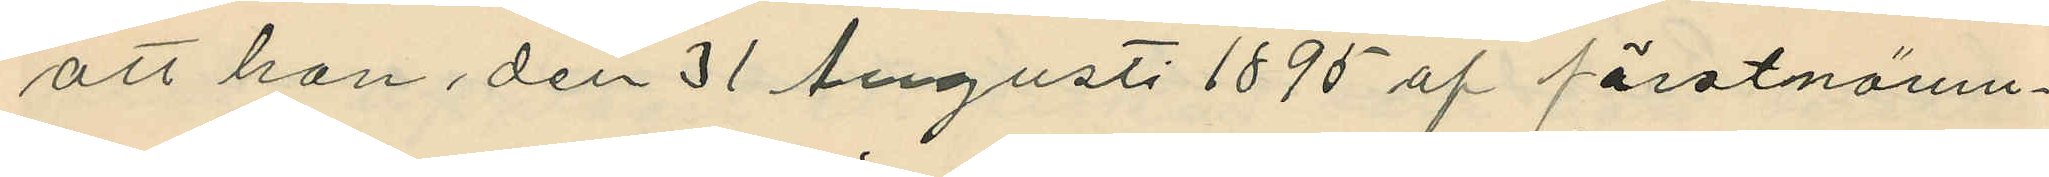att han den 31 Augusti 1895 af förstnämn¬
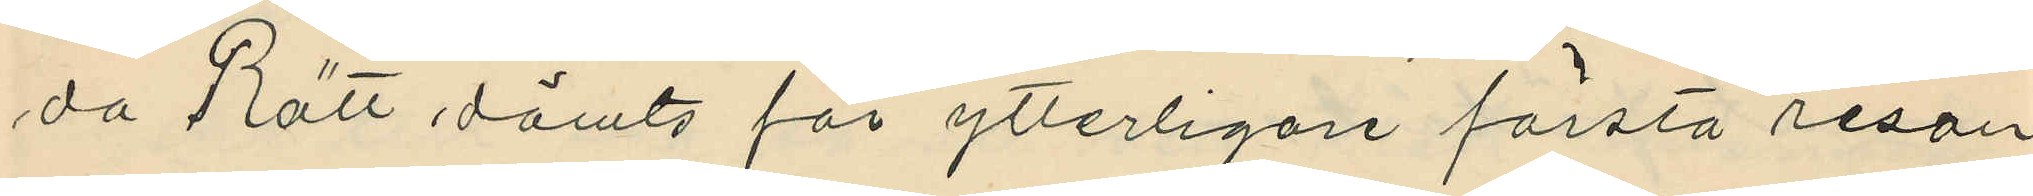da Rätt dömts för ytterligare första resan
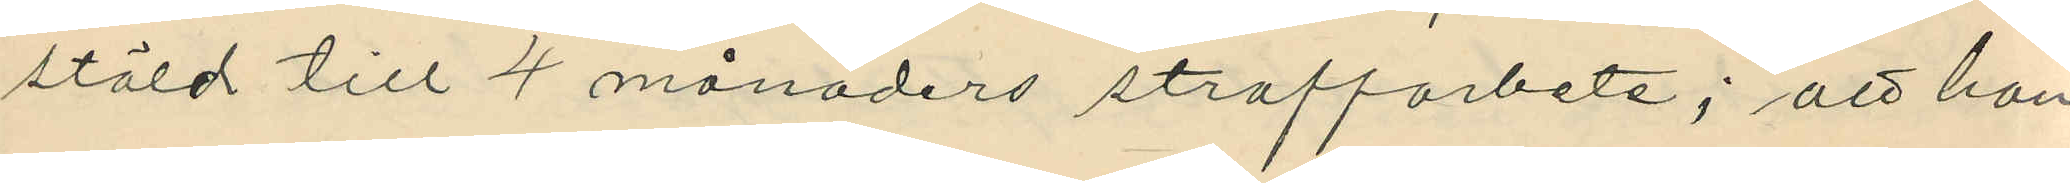stöld till 4 månaders straffarbete; att han
